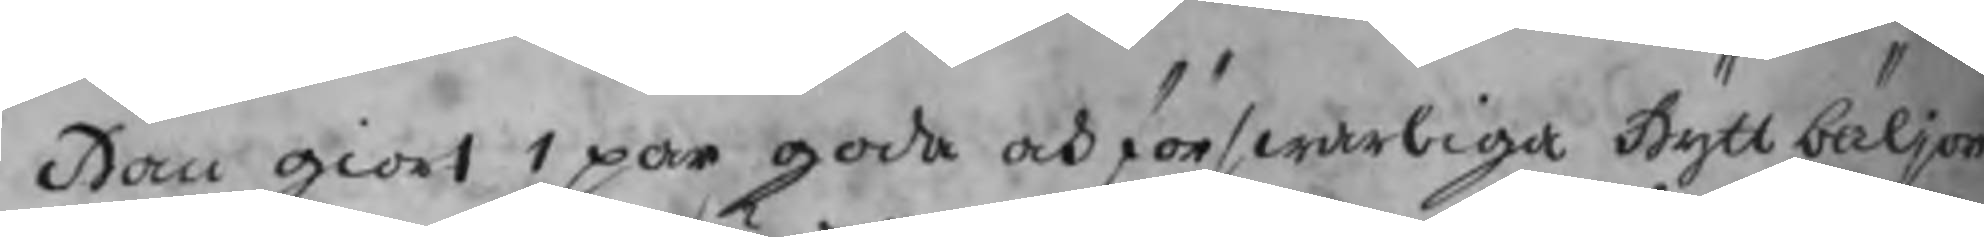Han giort 1 par goda och förswarliga Hyttbäljor
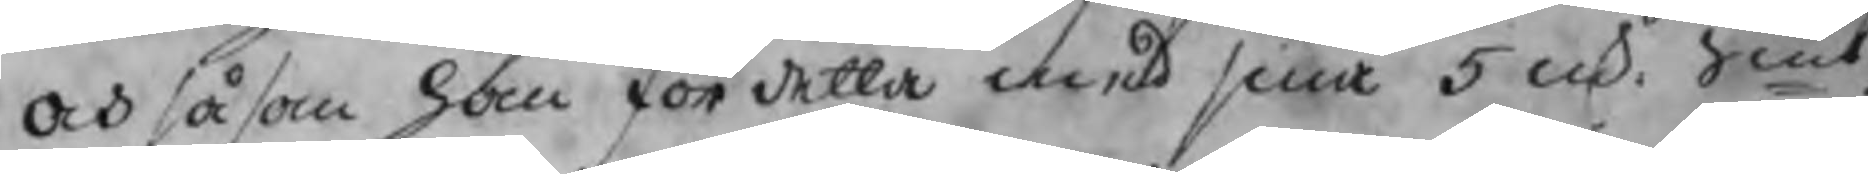och såsom han för detta med sina 5 mk. Smt.
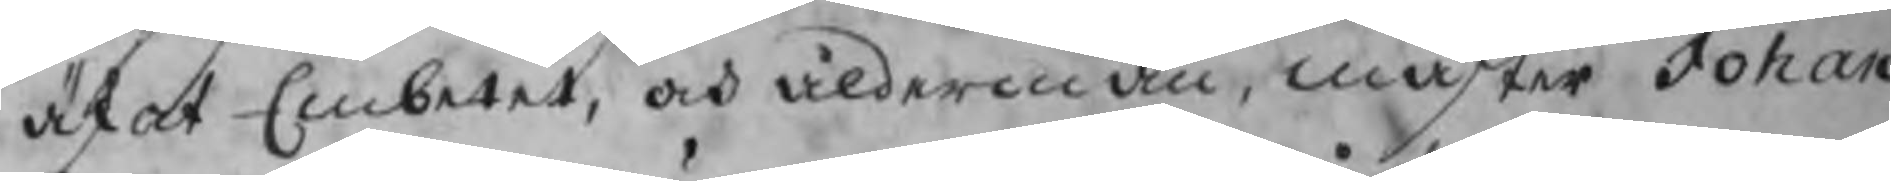äskat Embetet, och ålderman, mäster Johan
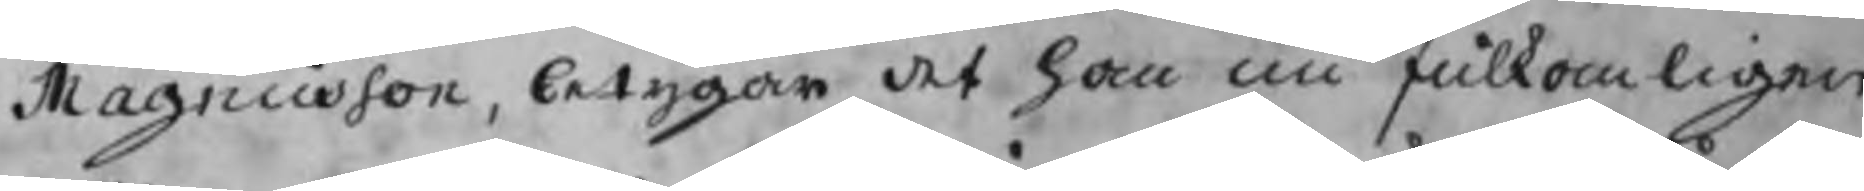Magnusson, betygar det han nu fulkomligen
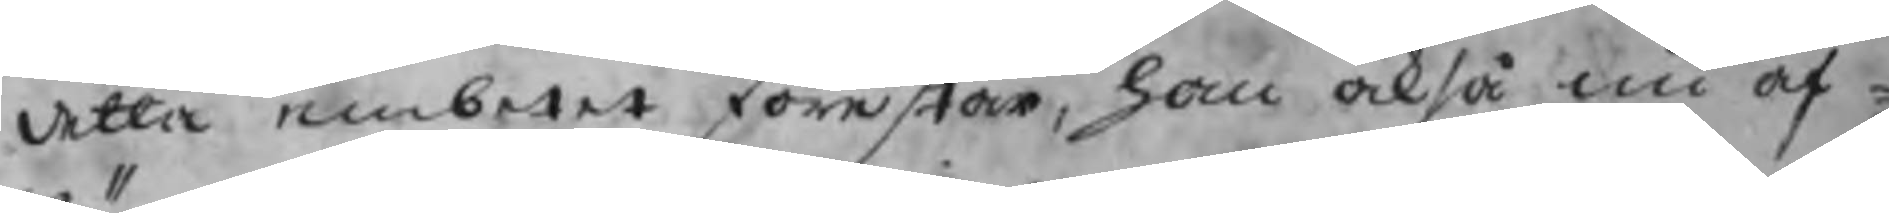detta embetet förestår, han också nu af¬
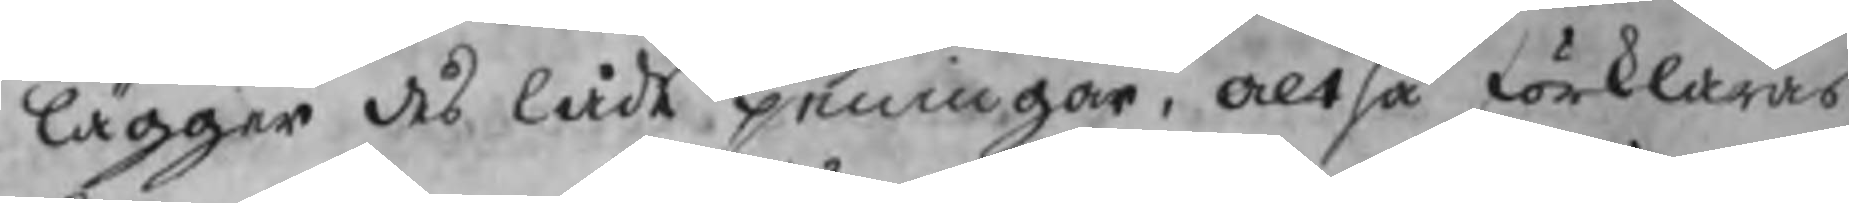lägger des låde peningar, altså förklaras
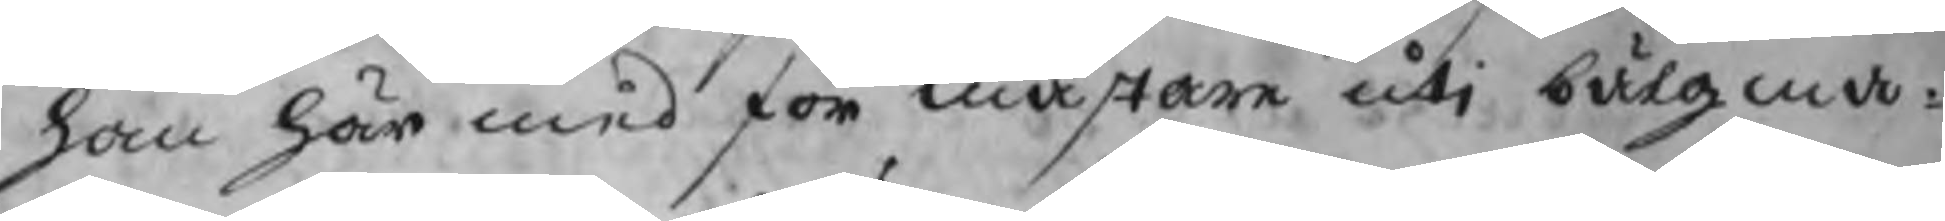han här med för mästare utj bälgma¬
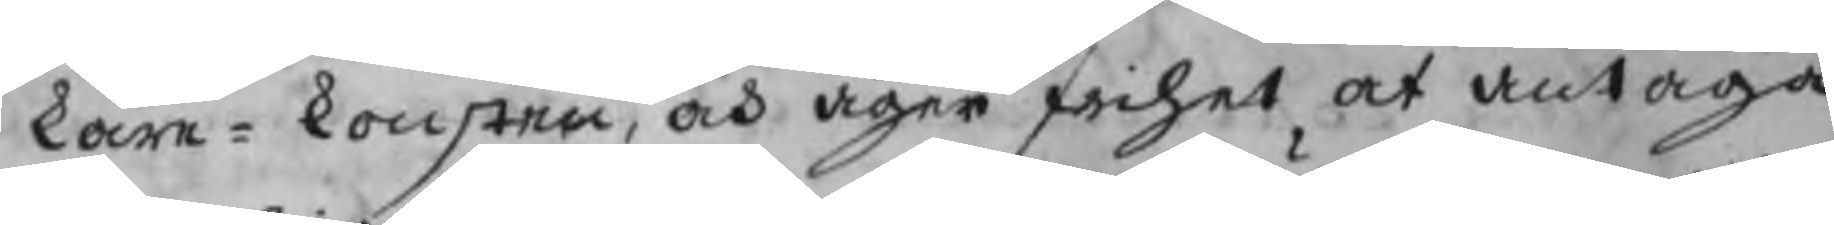kare¬konsten, och äger frihet at antaga
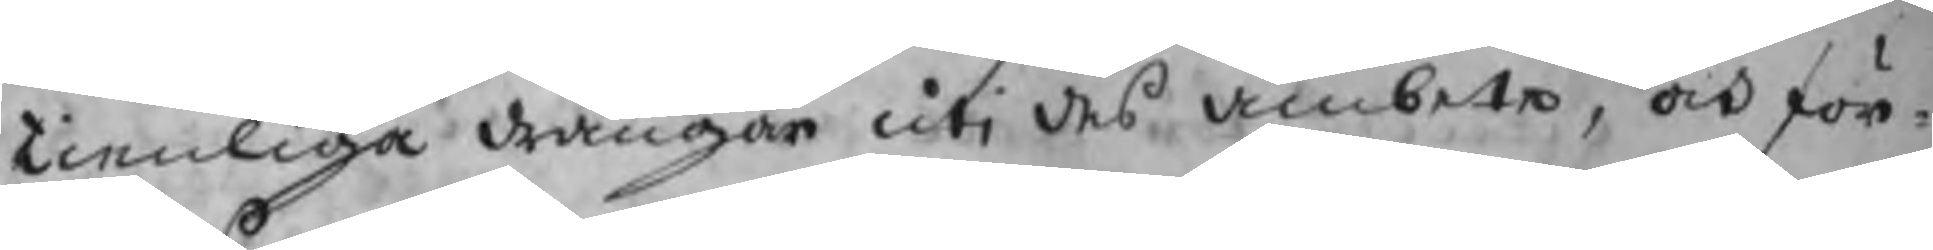tienliga drängar uti des ämbete, och för¬
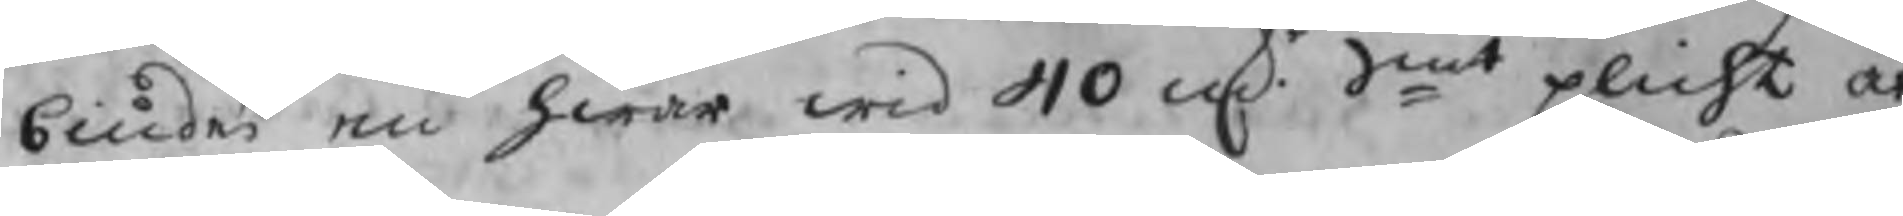biudes en hwar wid 40 mkr. Smt plicht at
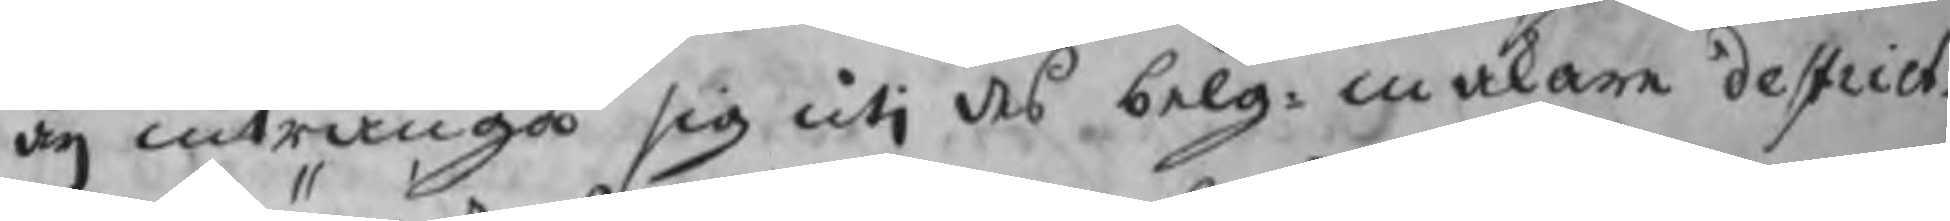äij intränga sig utj des belg¬makare destrict.
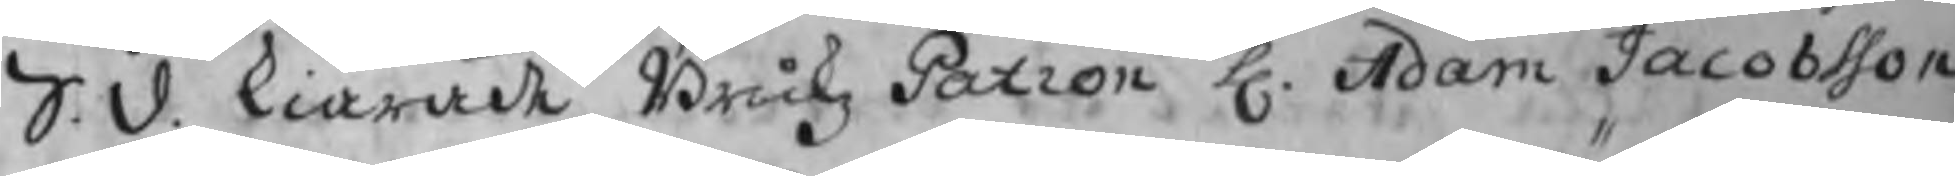S.d. kiärade Brukz Patron H. Adam Jacobsson
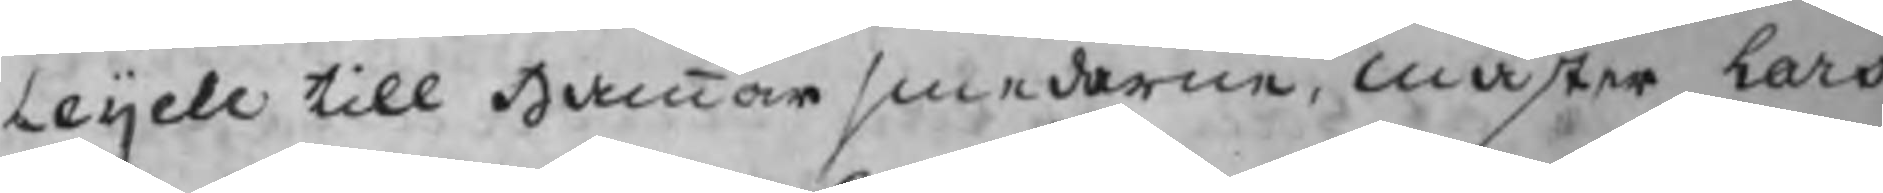Leijell till Hammarsmederne, mäster Lars
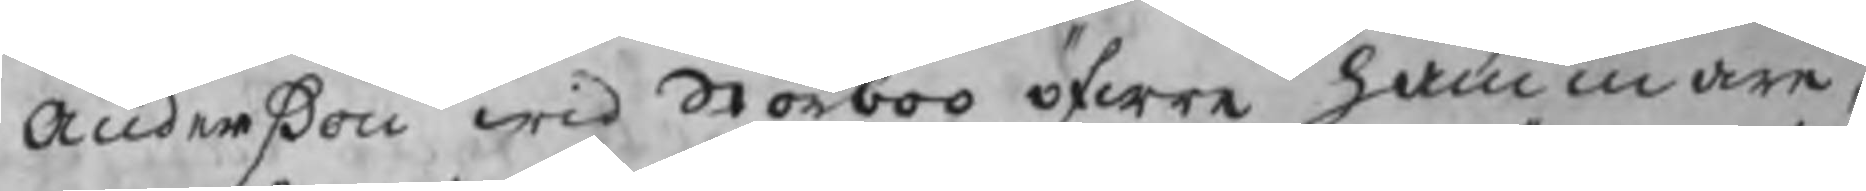Andersson wid Storboo öfre hammare,
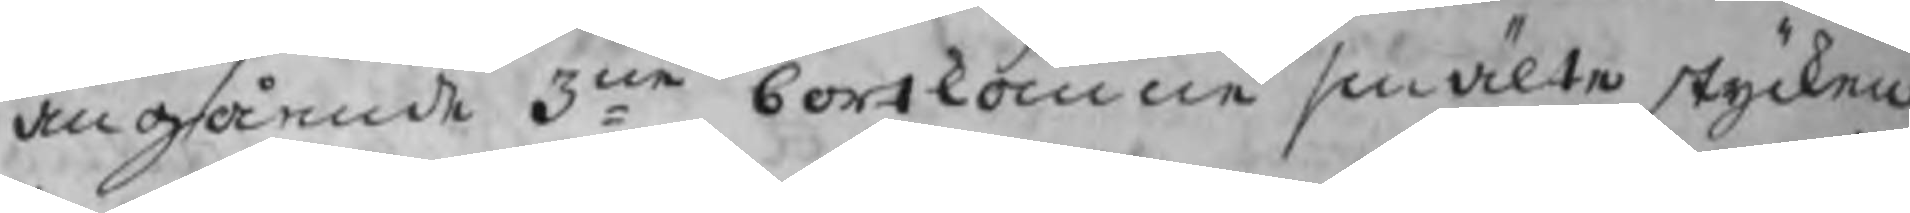angående 3ne bortkomne smälte stycken
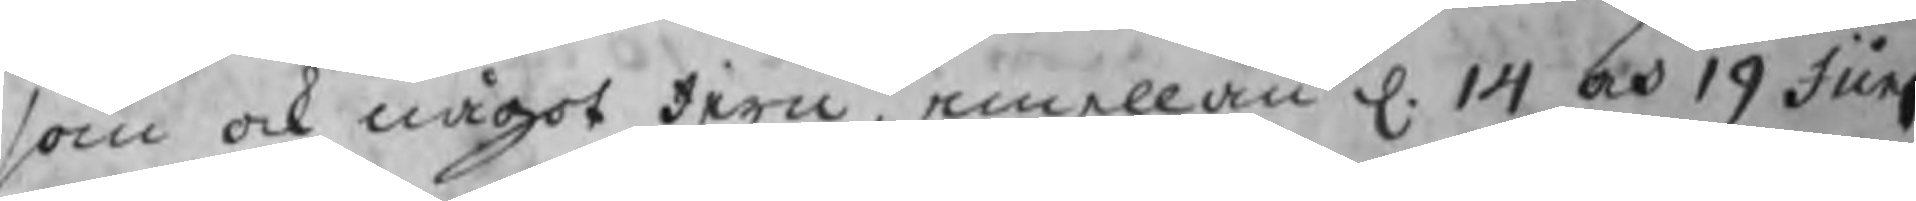som ock något Jern, emellan d. 14 och 19 Junj
